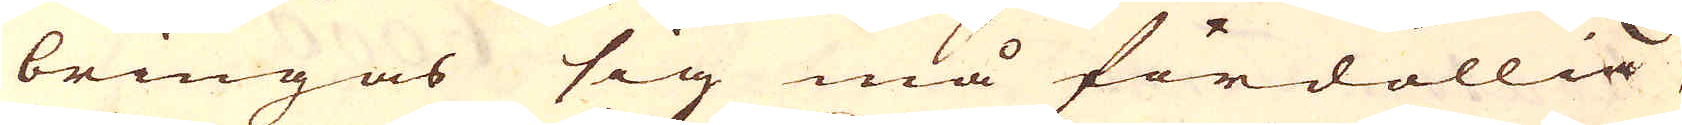bringas sig må fördöllia
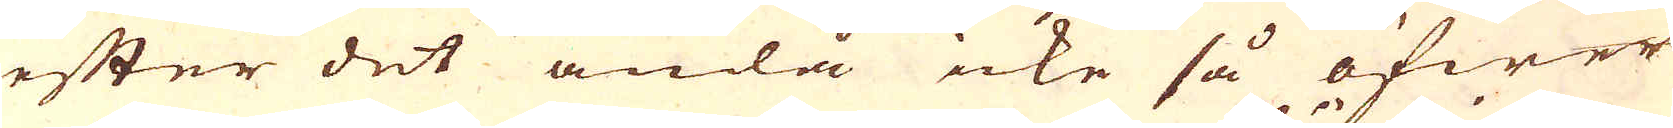efter det ändå icke så öfwer
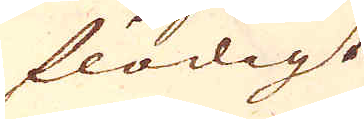flödigt
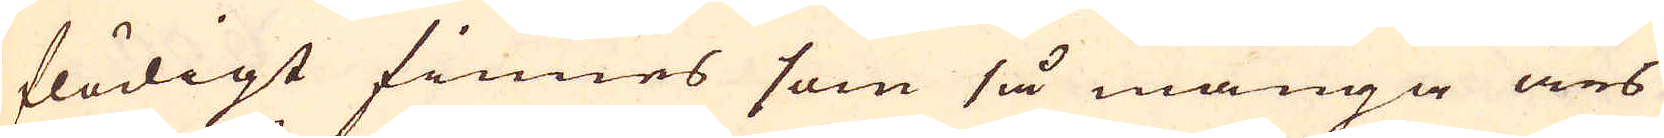flödigt finnes som så många års
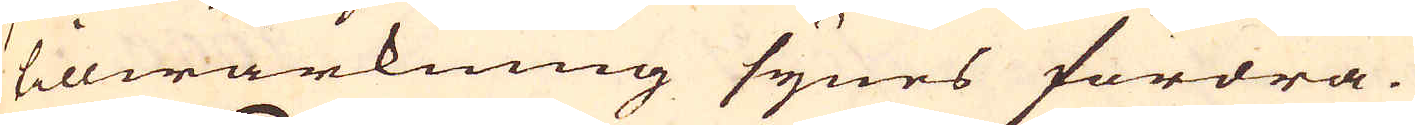tillwärkning synes fordra.
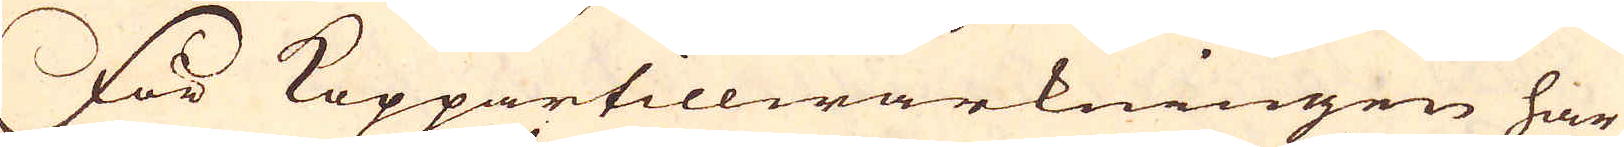För Koppartillwärkningen har
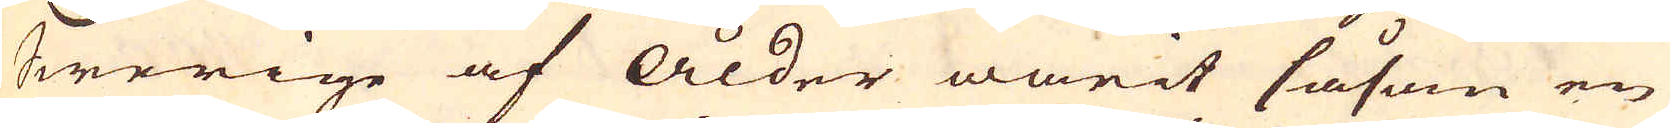Swerige af Ålder warit såsom en
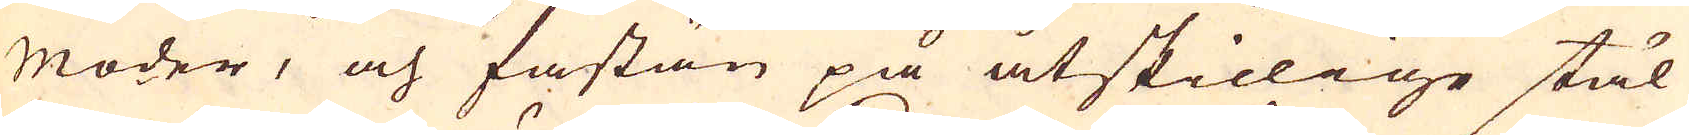moder, och fastän på åtskillige stäl
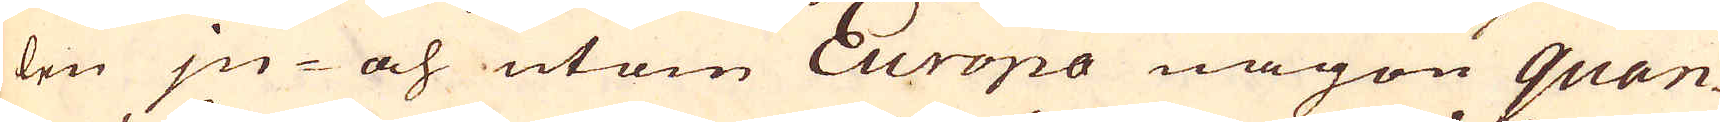len jn- och utom Europa någon quan-
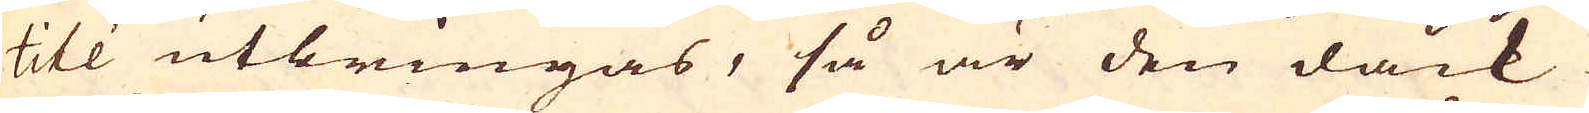tité utbringas, så är den dåck
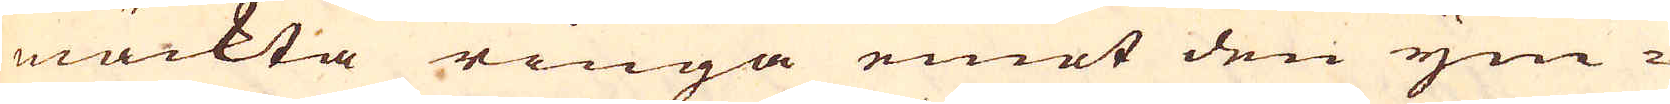mäckta ringa emot den ym-
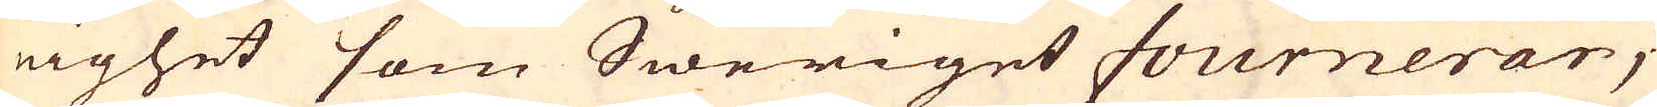nighet som Sweriget fournerar,
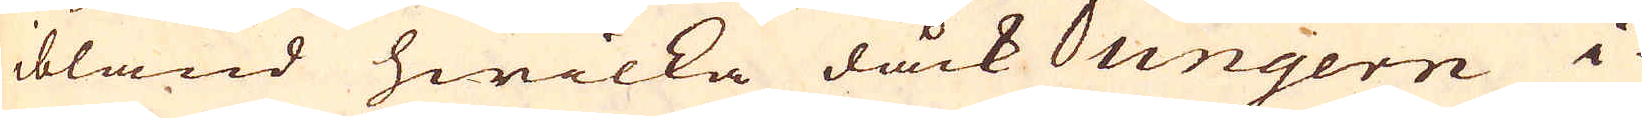ibland hwilka dåck Ungern i
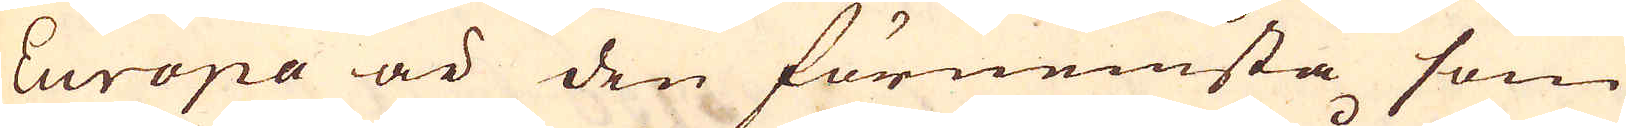Europa är den förnemsta som
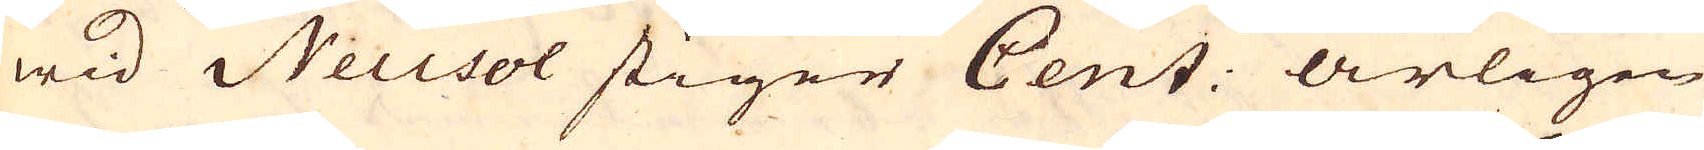wid Neusol stiger Cent: årligen
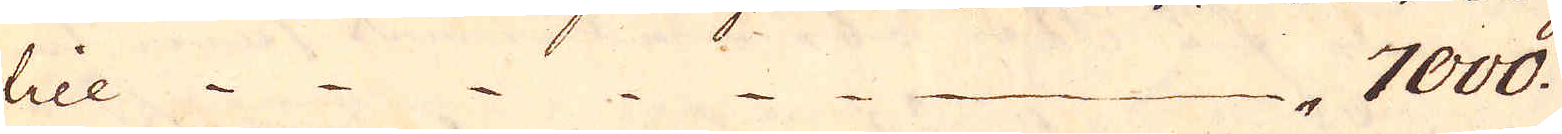till 7000.
